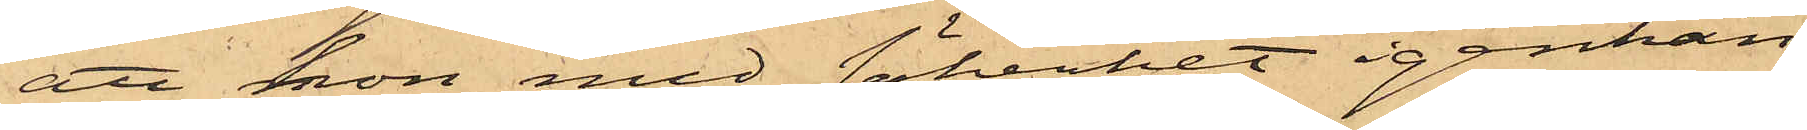att hon med säkerhet igenkän¬
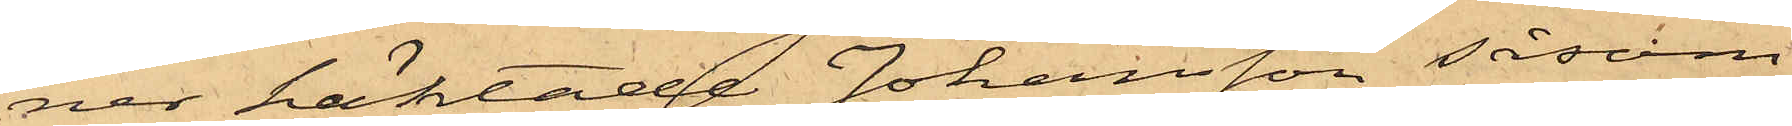ner häktade Johansson såsom
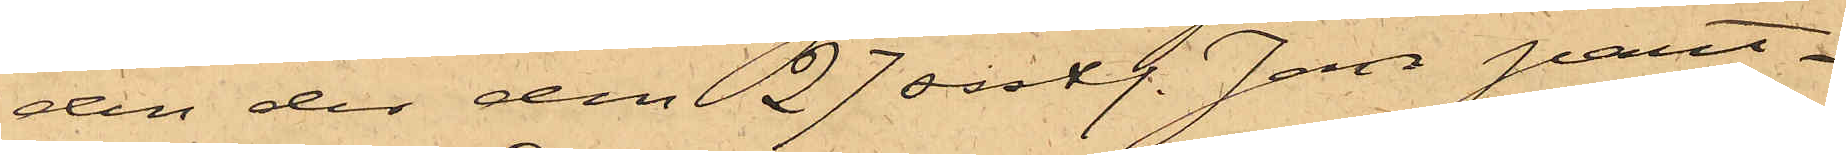den der den 27 sistl. Jan pant¬
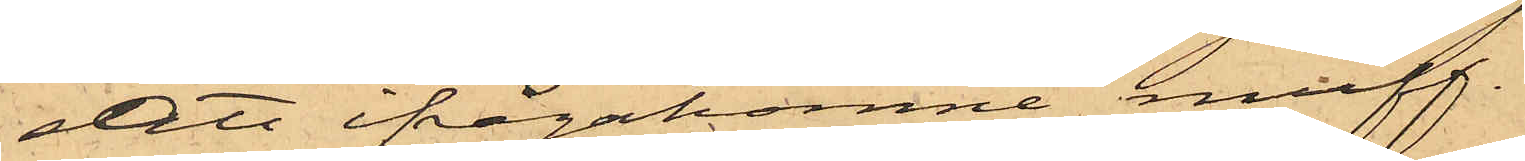satt ifrågakomne muff.
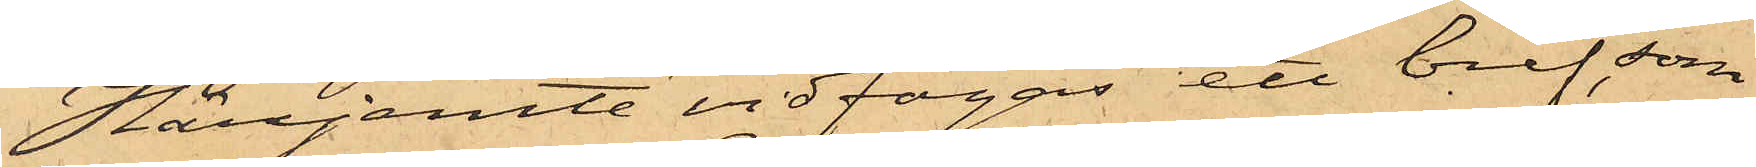Härjemte vidfogas ett bref, som
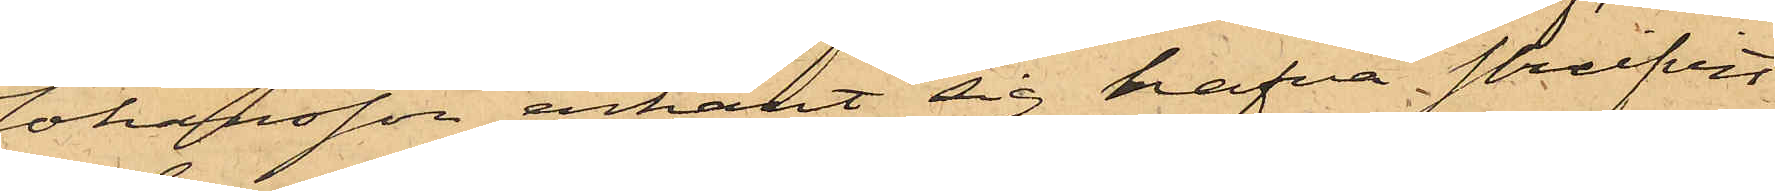Johansson erkänt sig hafva skrifvit
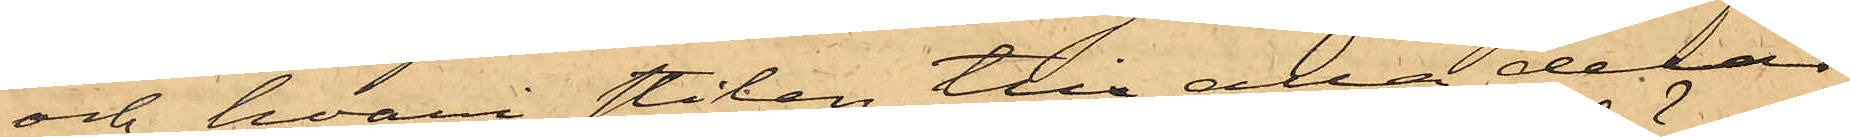och hvari stilen till alla delar
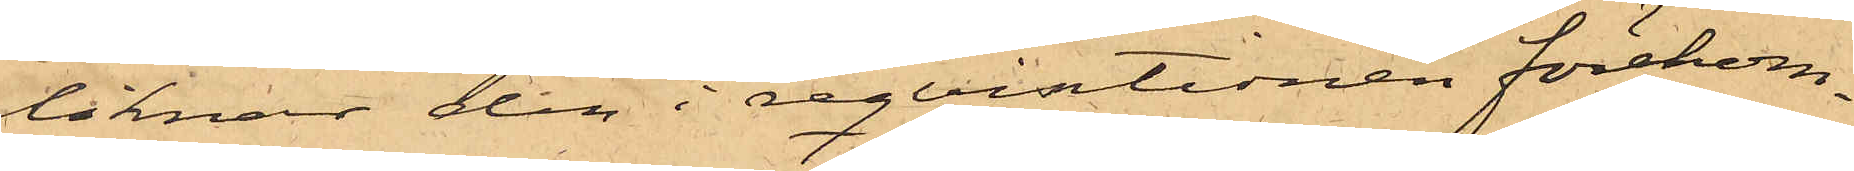liknar den i reqvistionen förekom¬
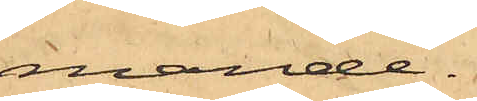mande.
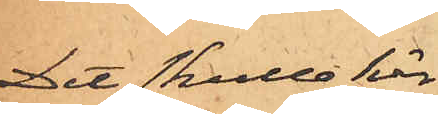Det skulle här
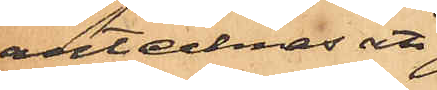antecknas att
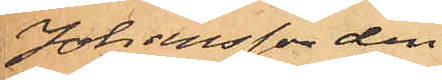Johansson den
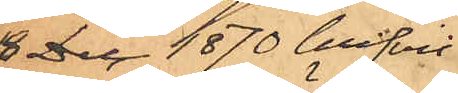18 Dec. 1870 blifvit
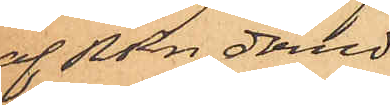af RRn dömd
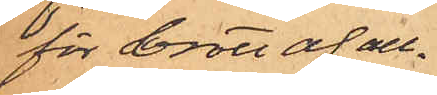för brott af all¬
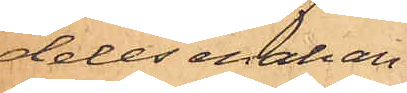deles enahan¬
